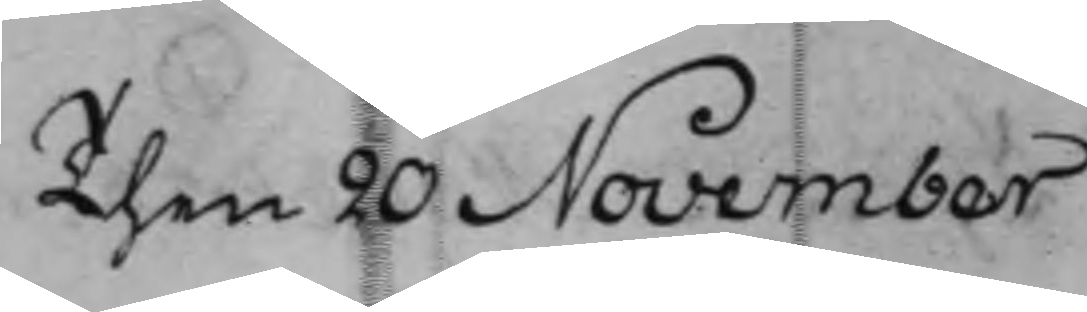Then 20 November
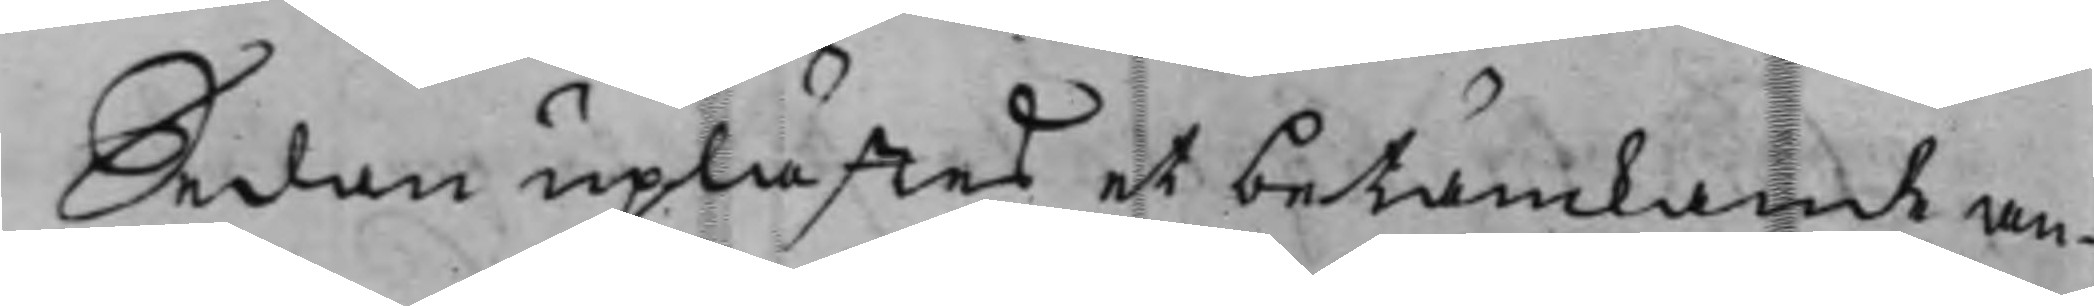Sedan uplästes et betänkande an¬
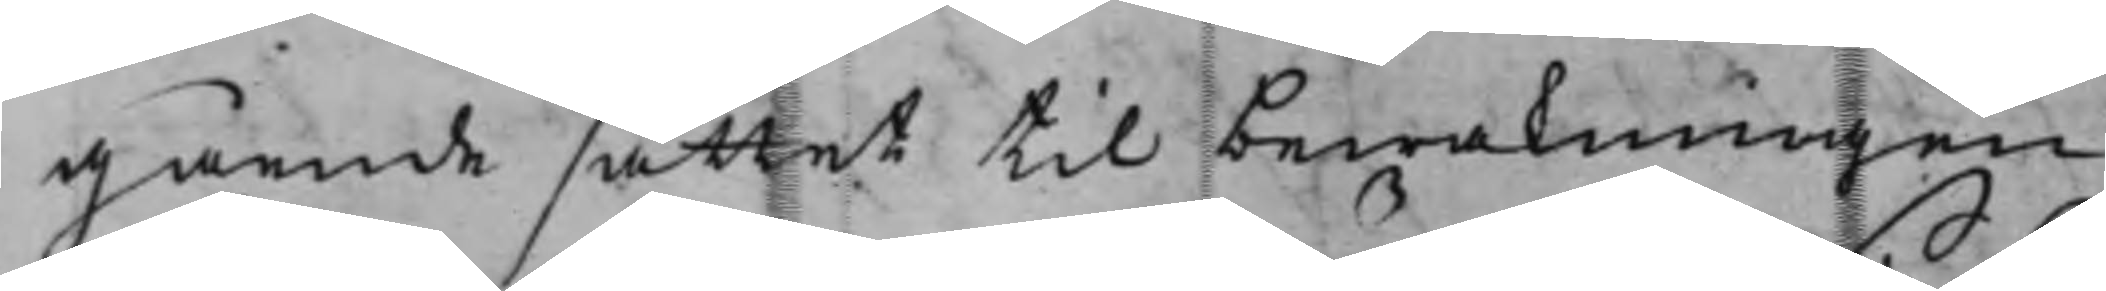gående sättet till bewakningen
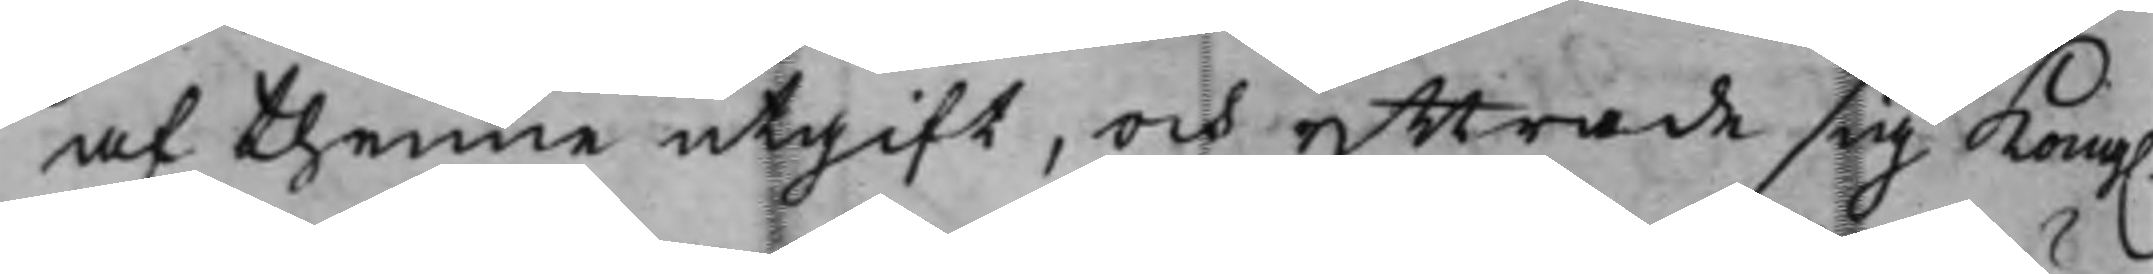af thenne utgift, och yttrade sig Kong.
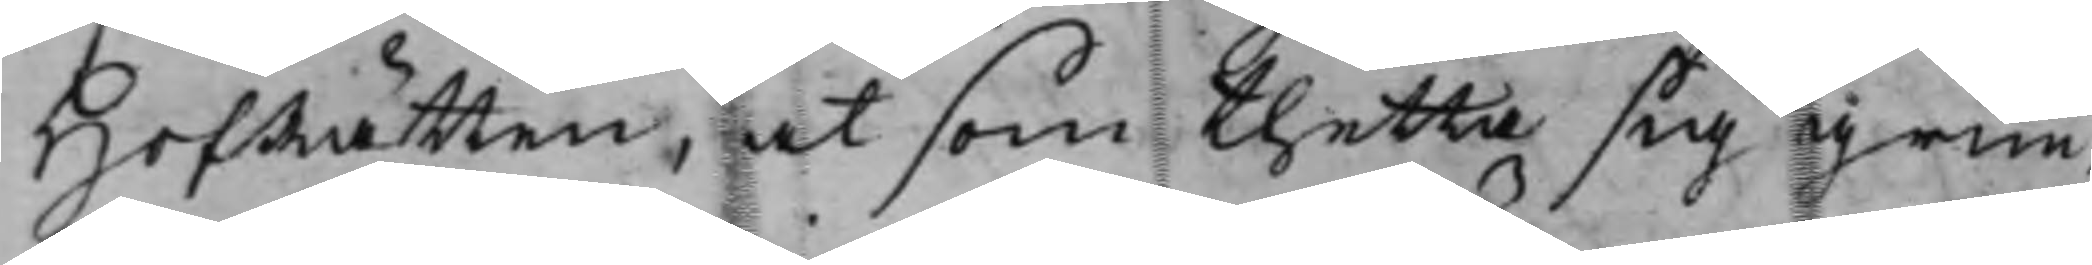HofRätten, at som thetta sig grun¬
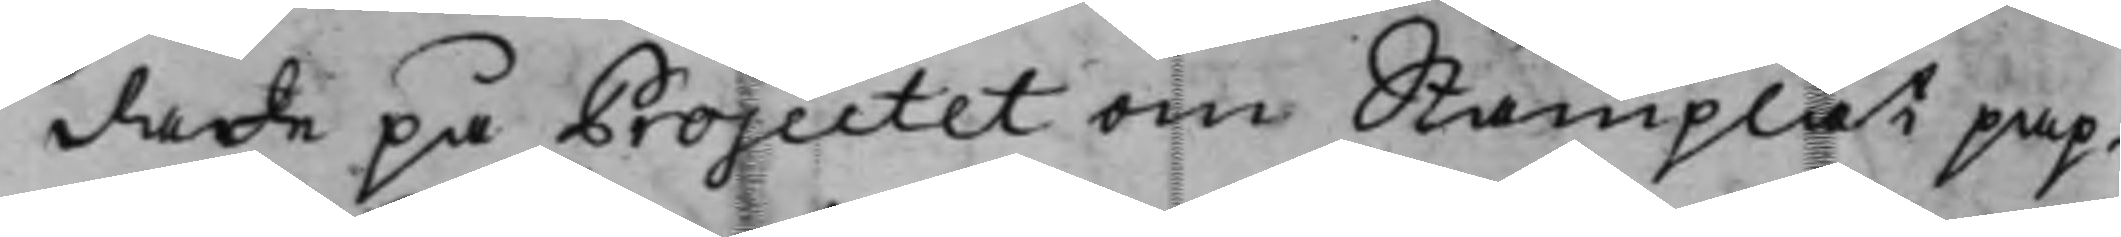dade på Projectet om Stämplat pap¬
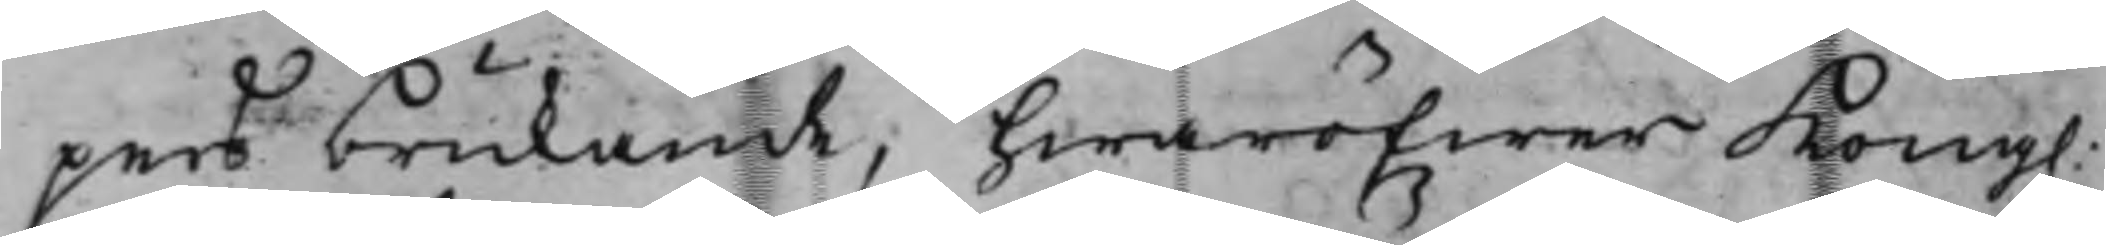pers brukande, hwaröfwer Kong.
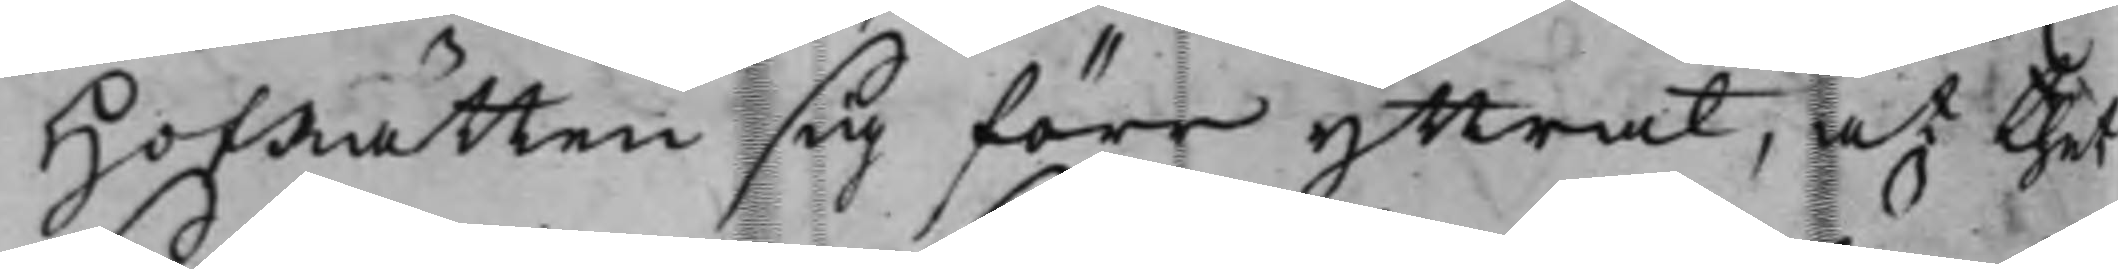HofRätten sig förr yttrat, at thet
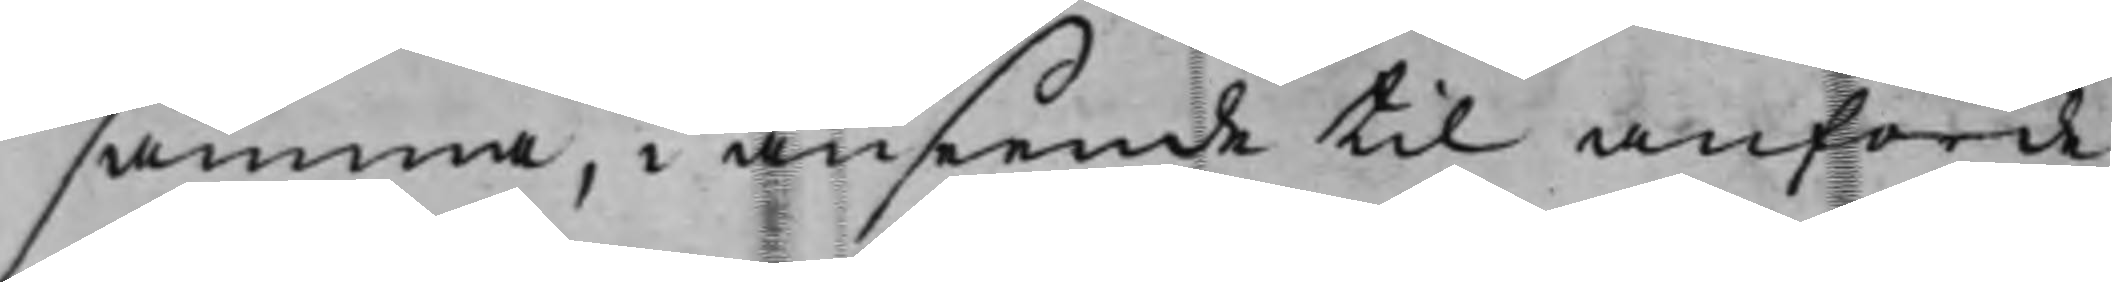samma, i anseende til anförde
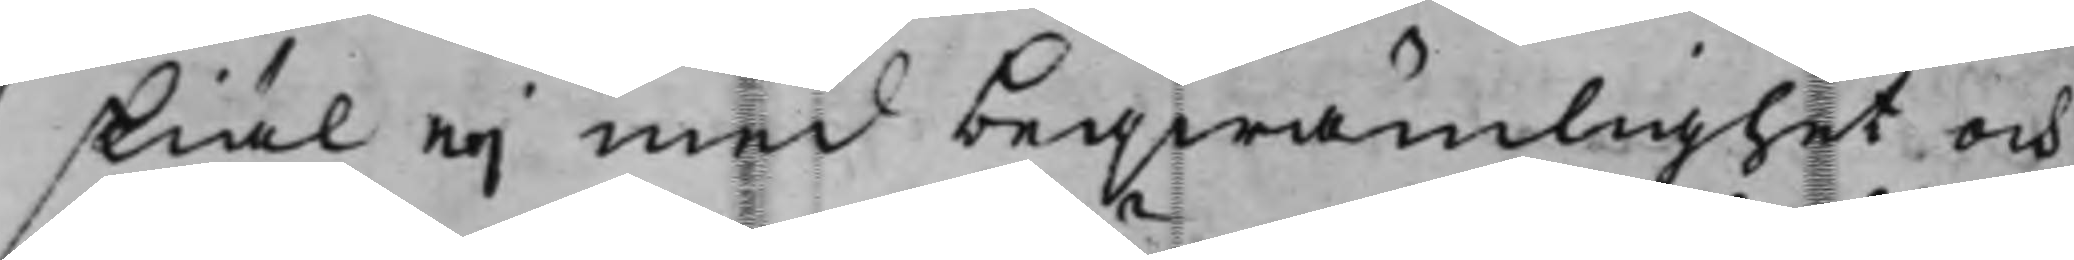skiäl eij med beqwämlighet och
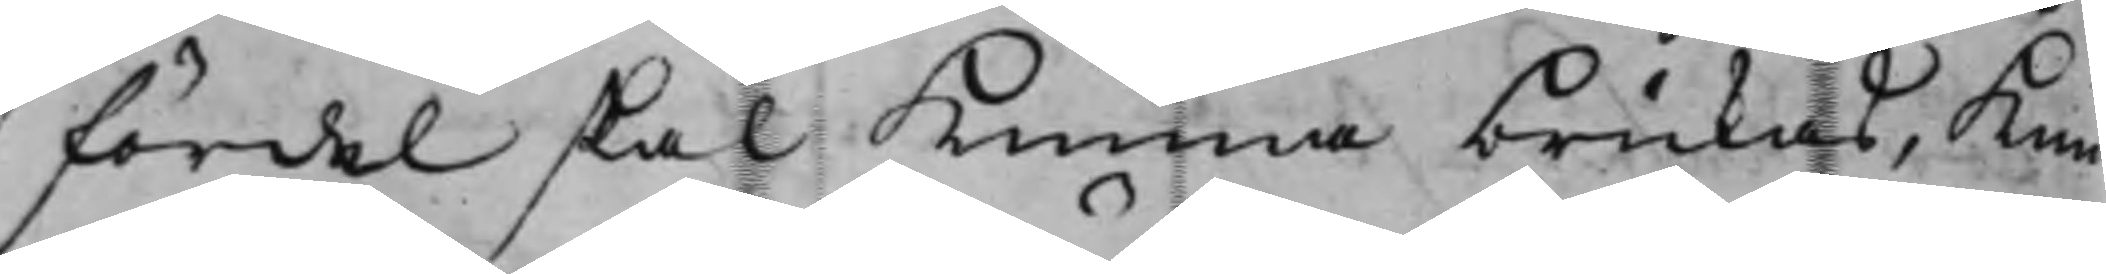fördel skal Kunna brukas, Kun¬
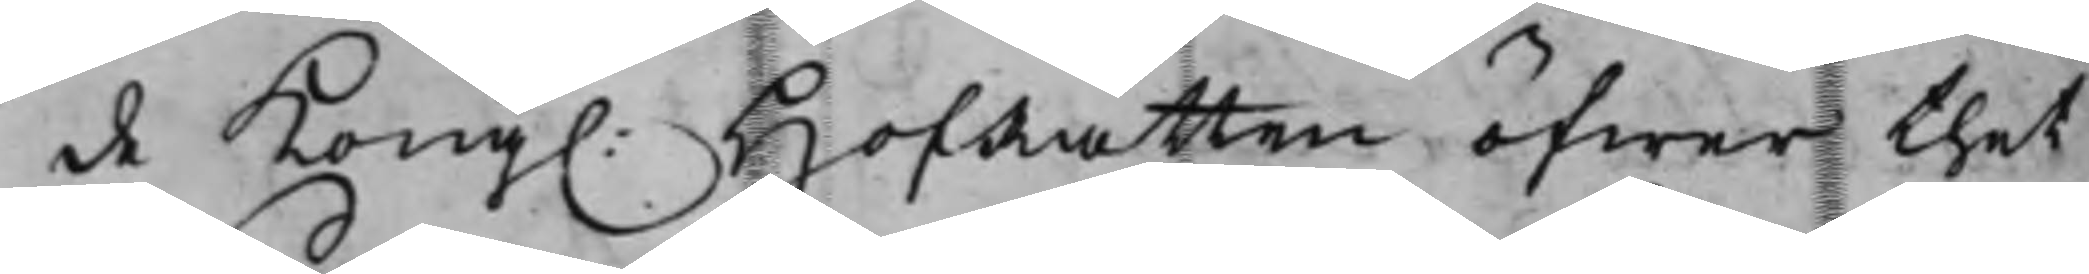de Kong. HofRätten öfwer thet
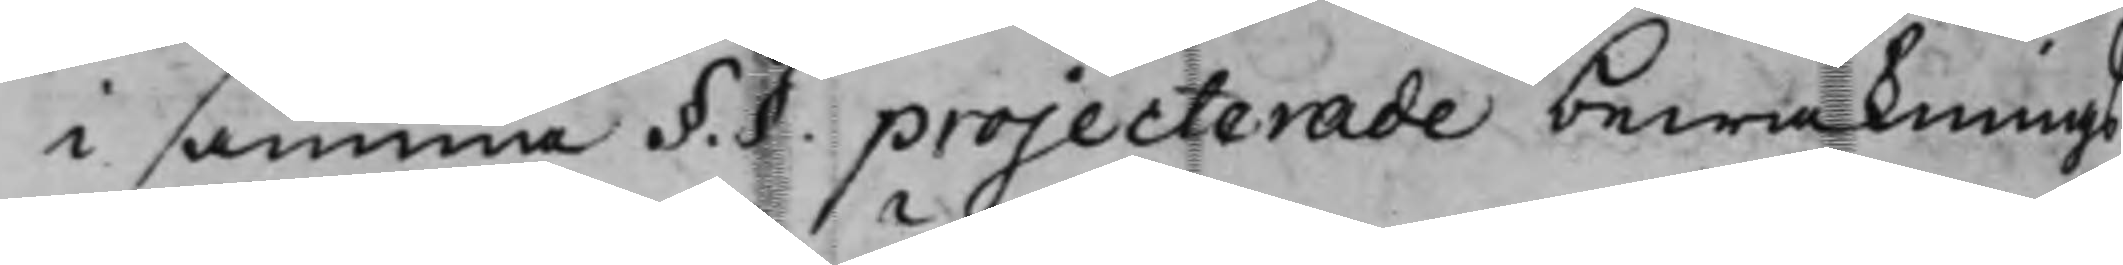i samma §.§. projecterade bewaknings¬
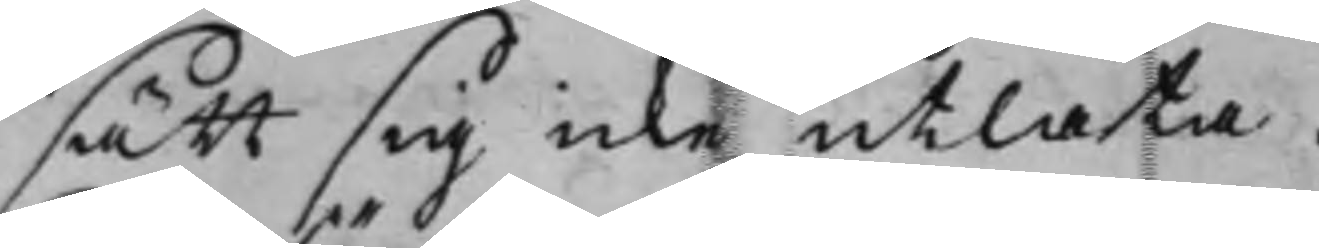sätt sig icke utlåta.
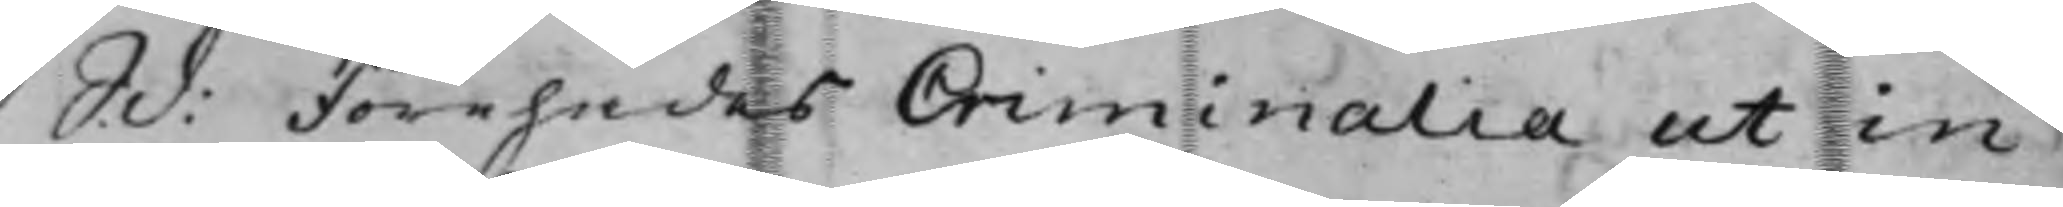S. d: Förehades Criminalia ut in
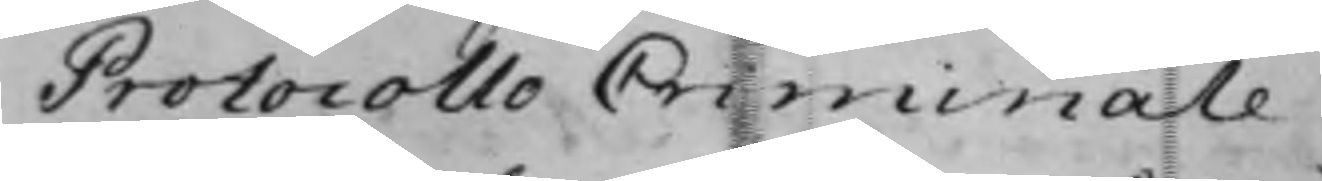Protocollo Criminale.
